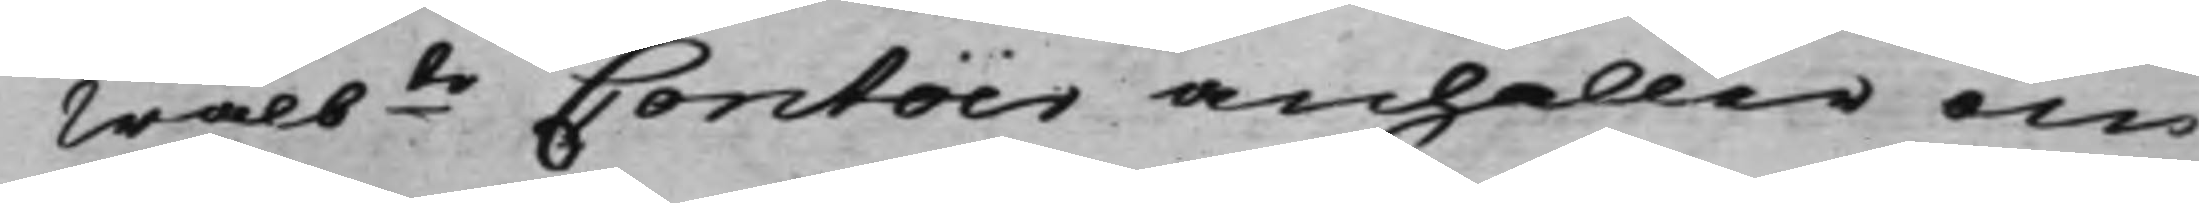Wälbte Contoir anhåller om
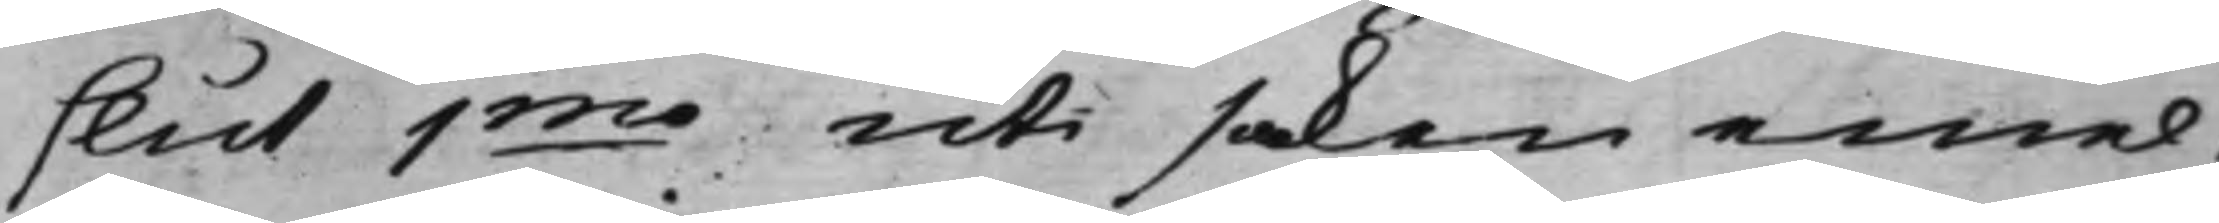slut 1mo uti saken emel¬
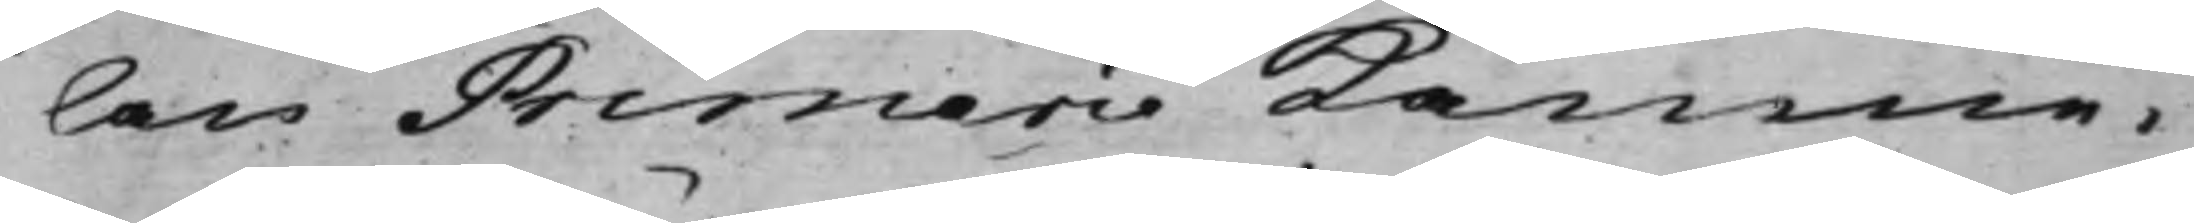lan Primeri Kämne¬
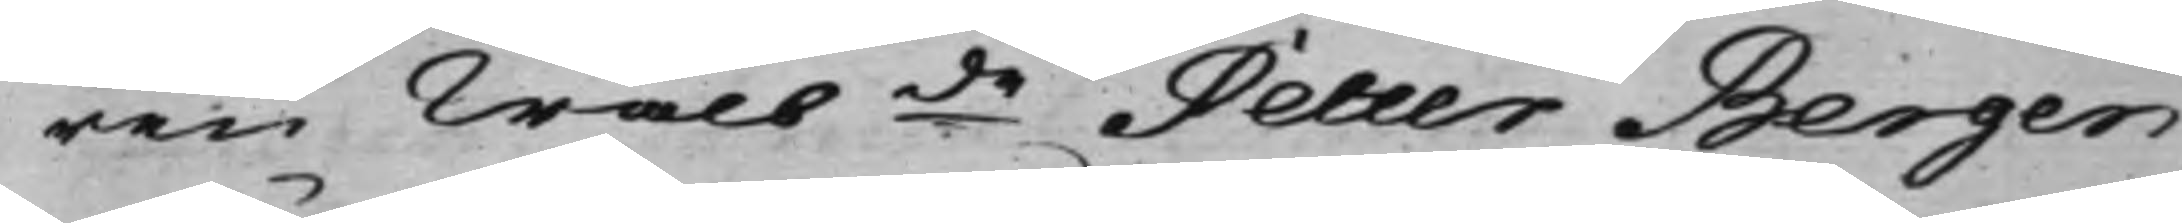ren Wälbde Petter Bergen¬
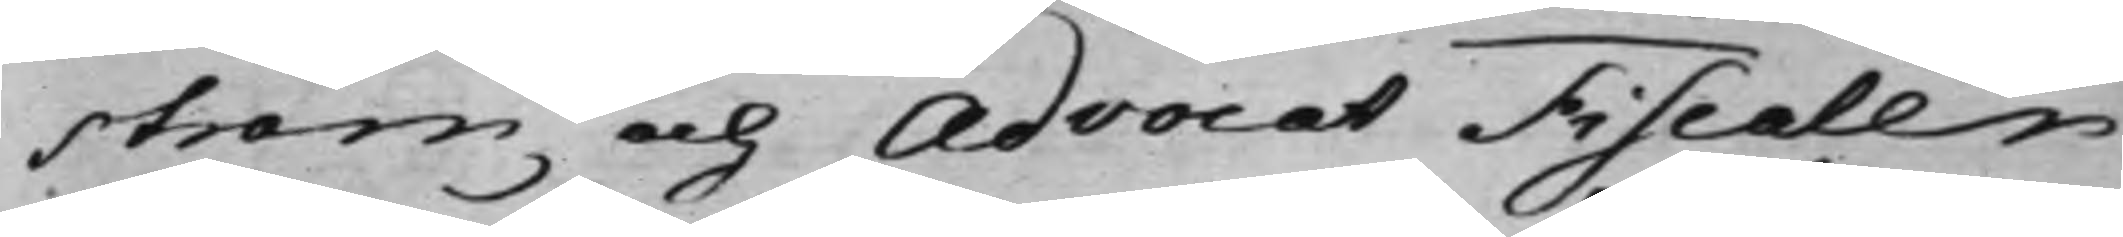ström och AdvocatFiscalen
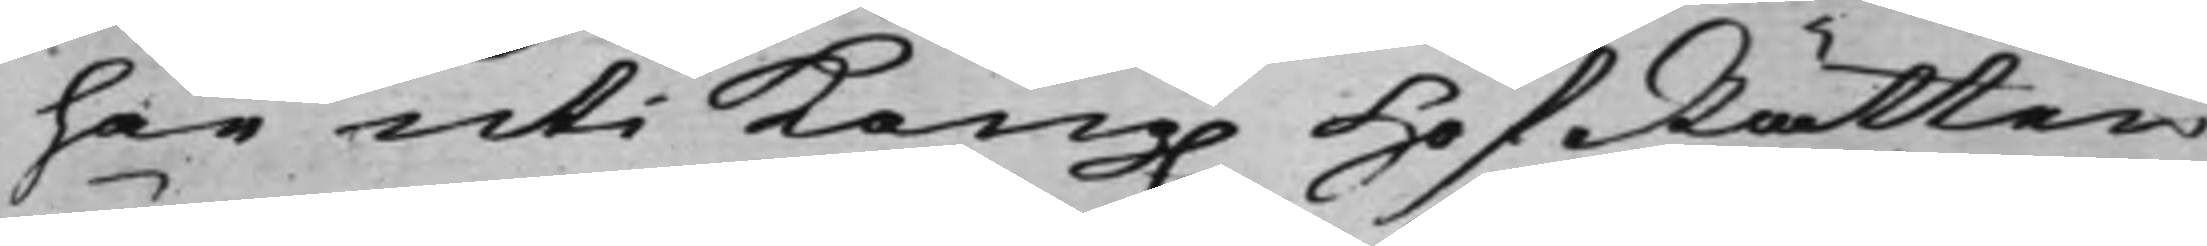här uti Kong. HofRätten
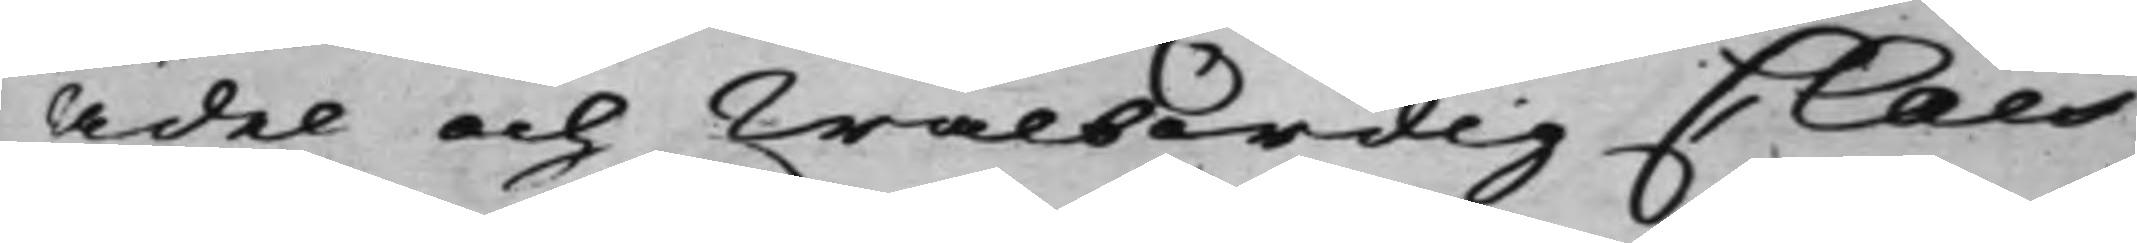Ädel och Wälbördig Claes
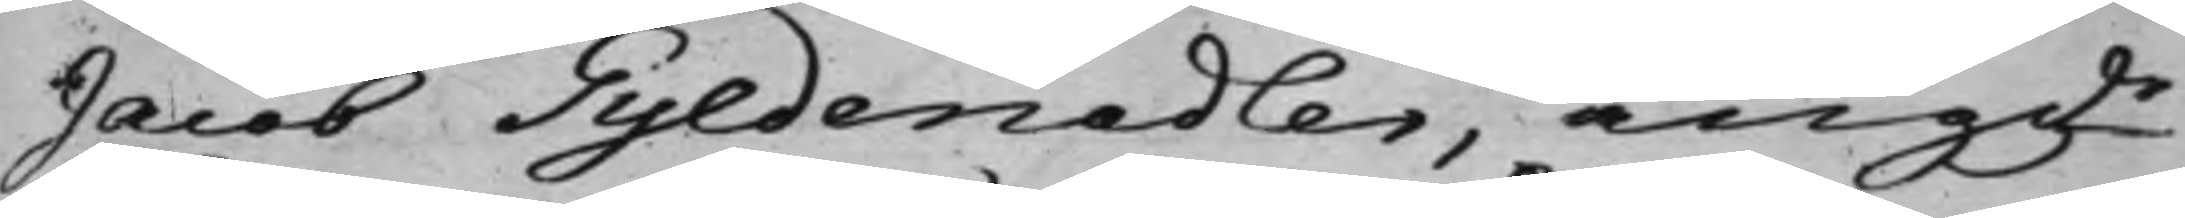Jacob Gyldenadler, angde
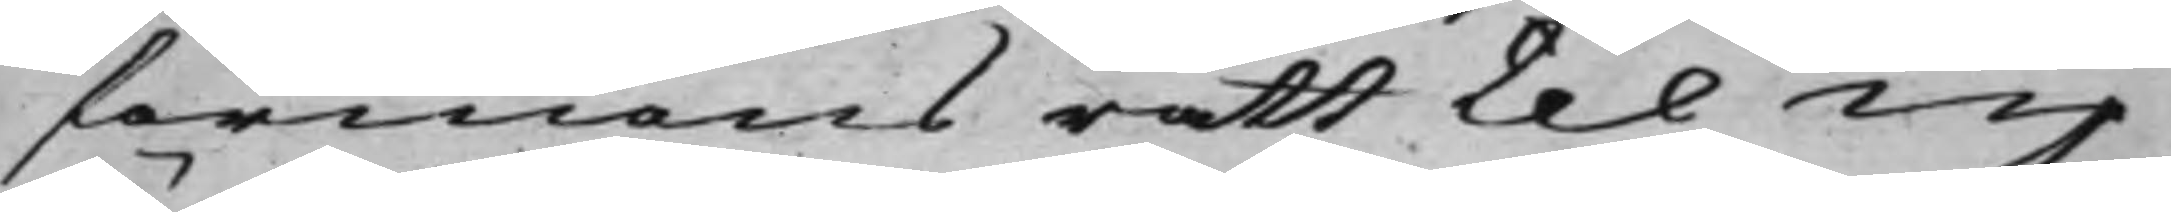förmonsrätt til up¬
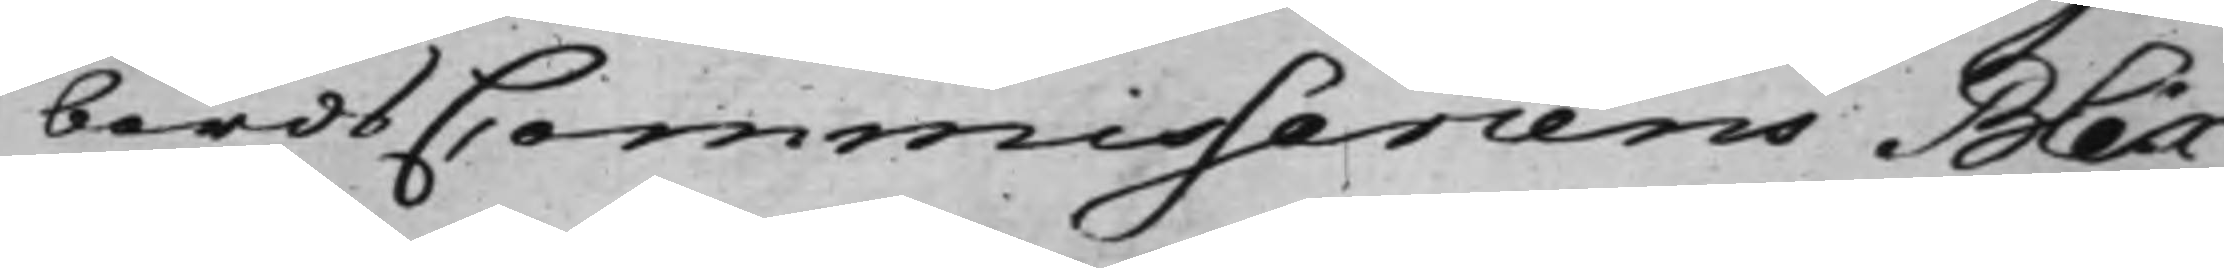bördsCommissariens Blix¬
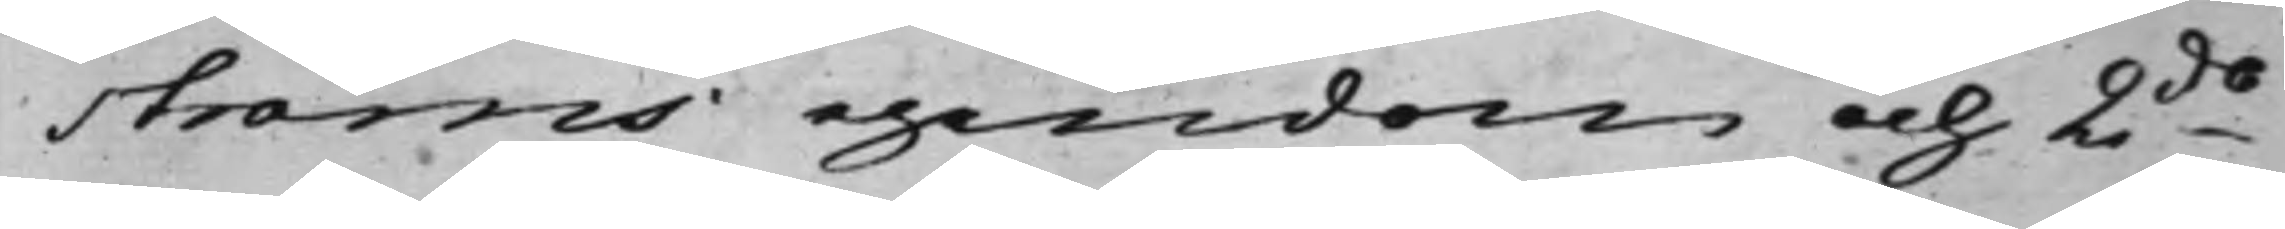ströms egendom och 2do
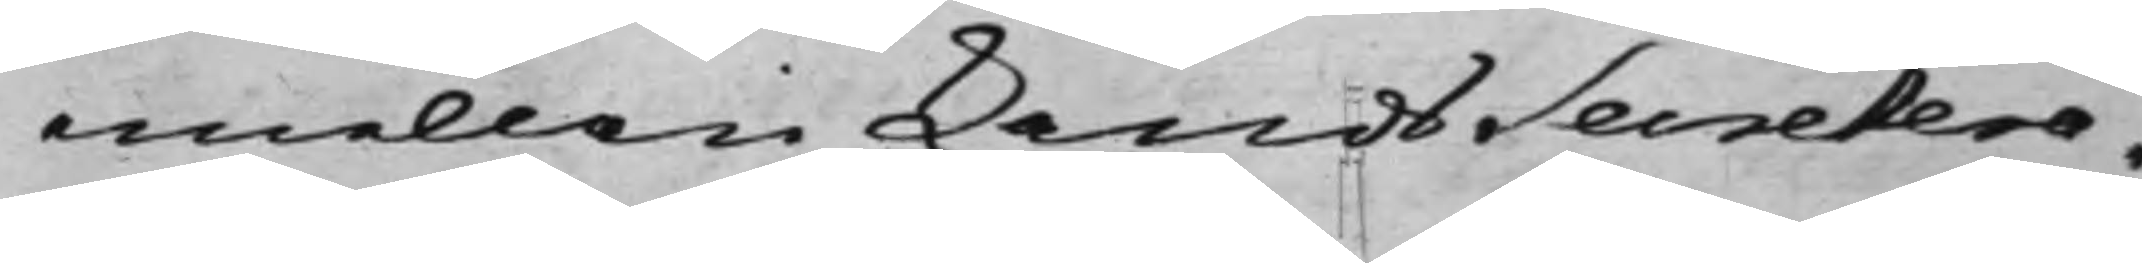emellan LandsSecretera¬
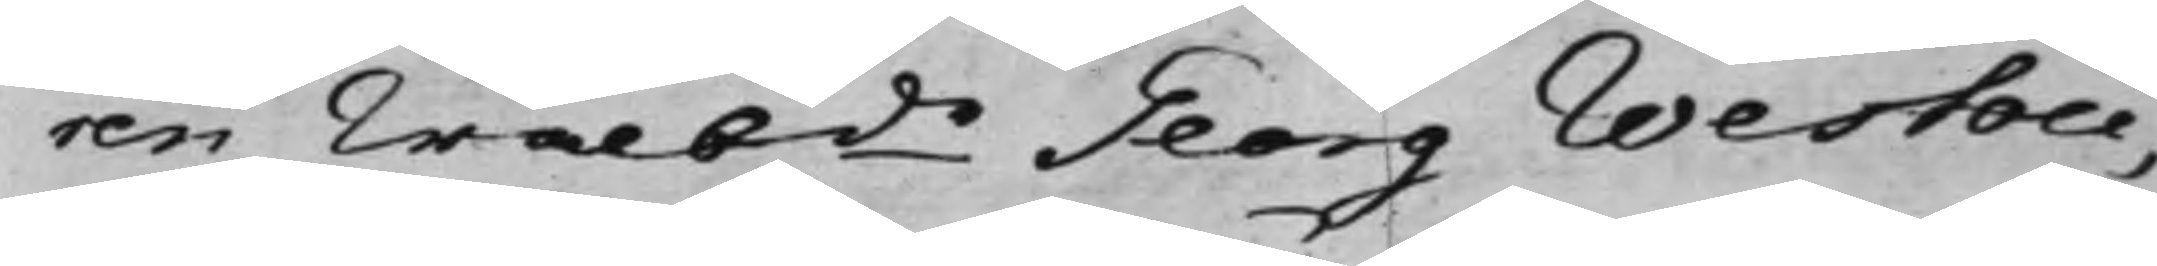ren Wälbde Georg Westou,
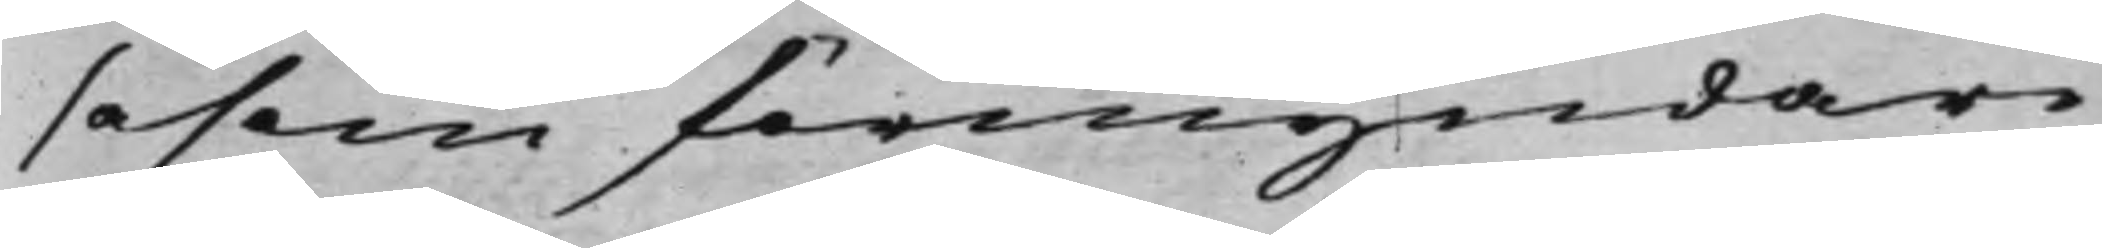såsom förmyndare
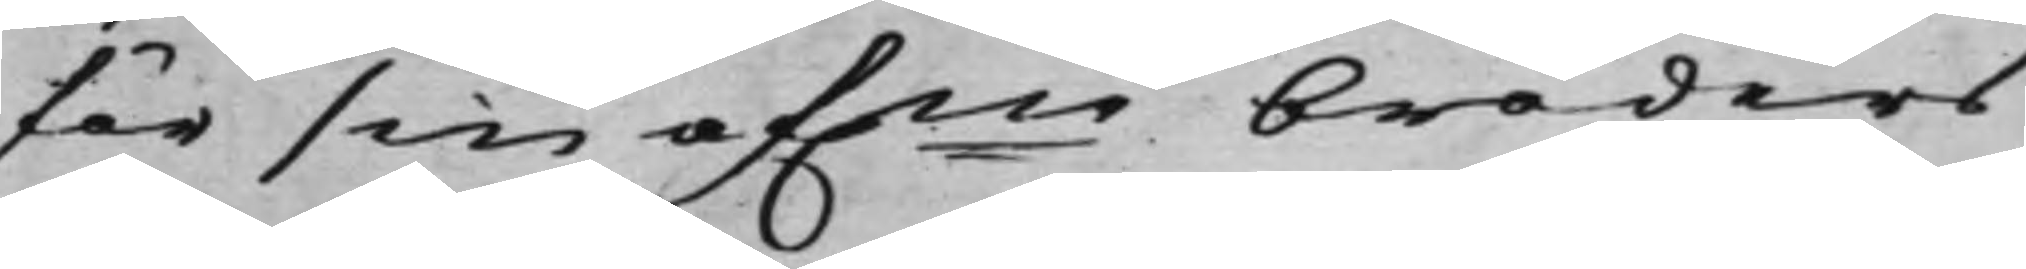för sin afne broders
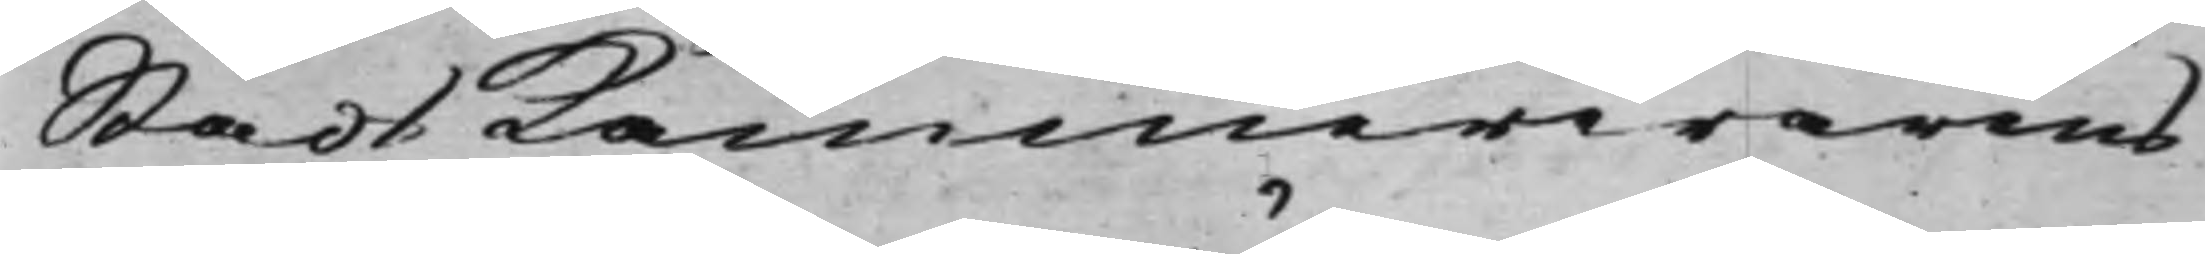StadsKammererarens
